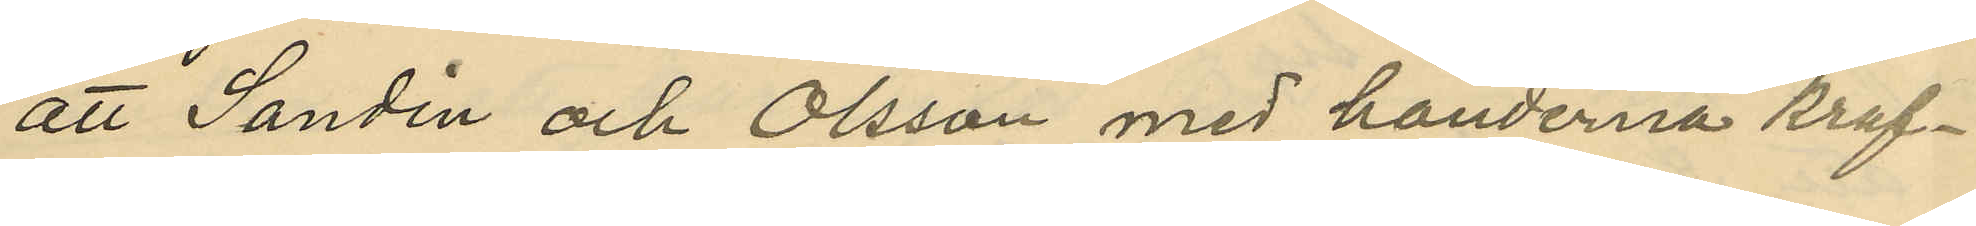att Sandin och Olsson med händerna kraf¬
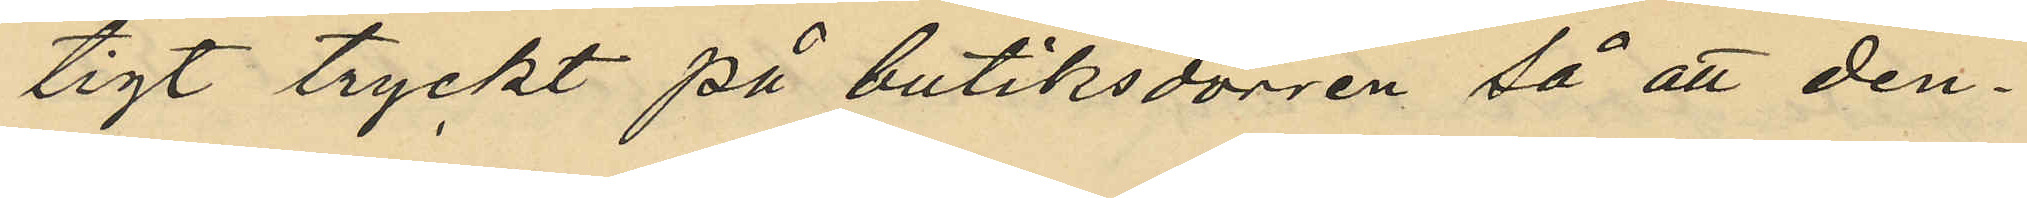tigt tryckt på butiksdörren så att den¬
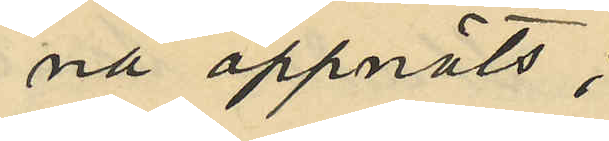na öppnats;
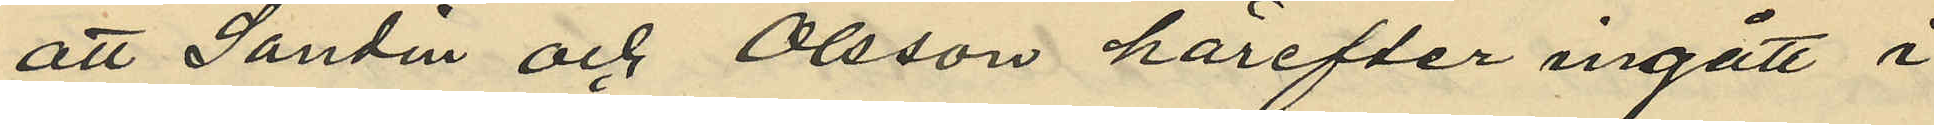att Sandin och Olsson härefter ingått i
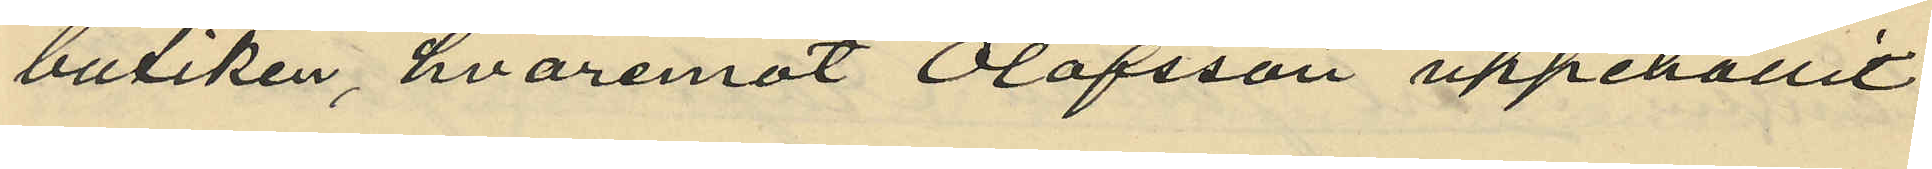butiken, hvaremot Olofsson uppehållit
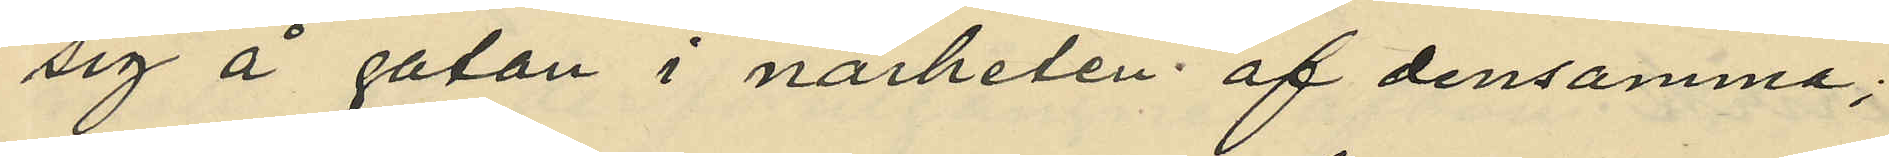sig å gatan i närheten af densamma;
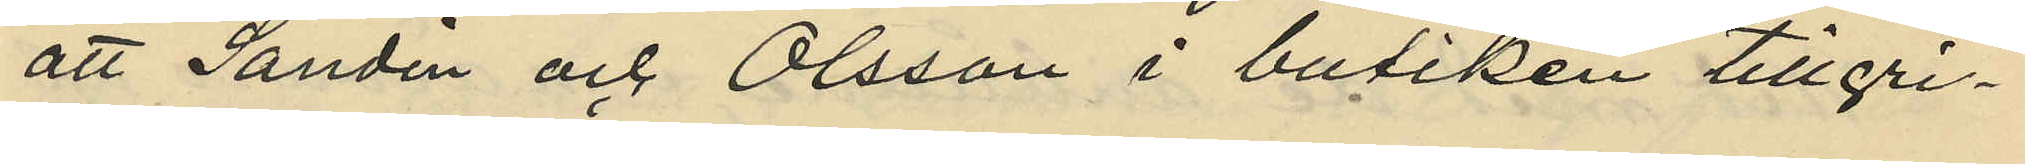att Sandin och Olsson i butiken tillgri¬
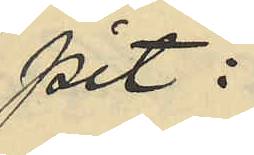pit:
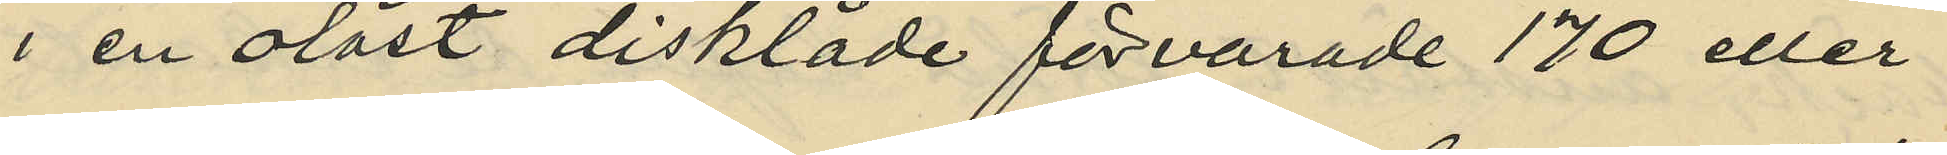i en olåst disklåde förvarade 170 eller
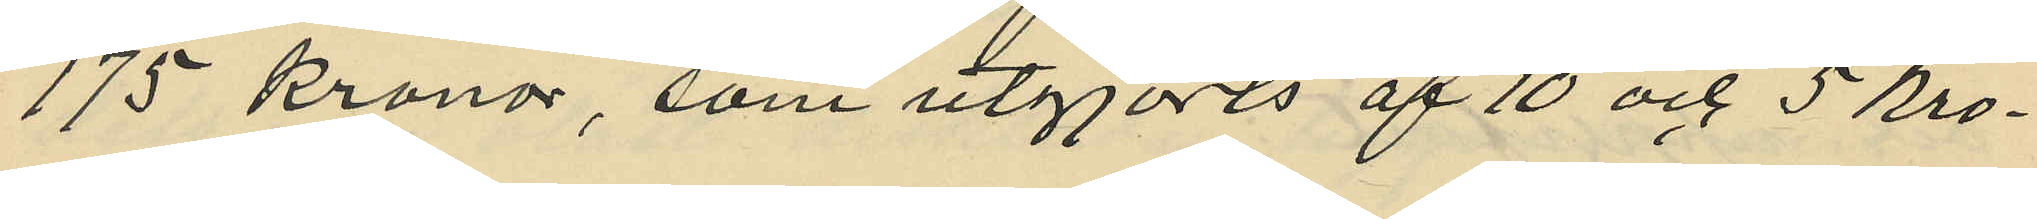175 kronor, som utgjorts af 10 och 5 kro¬
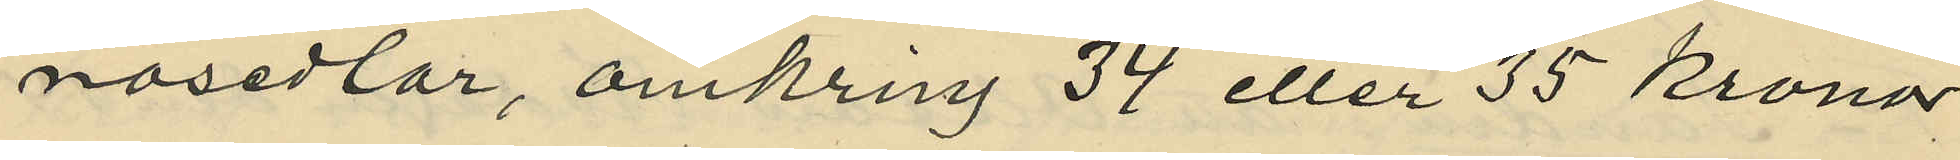nosedlar, omkring 34 eller 35 Kronor
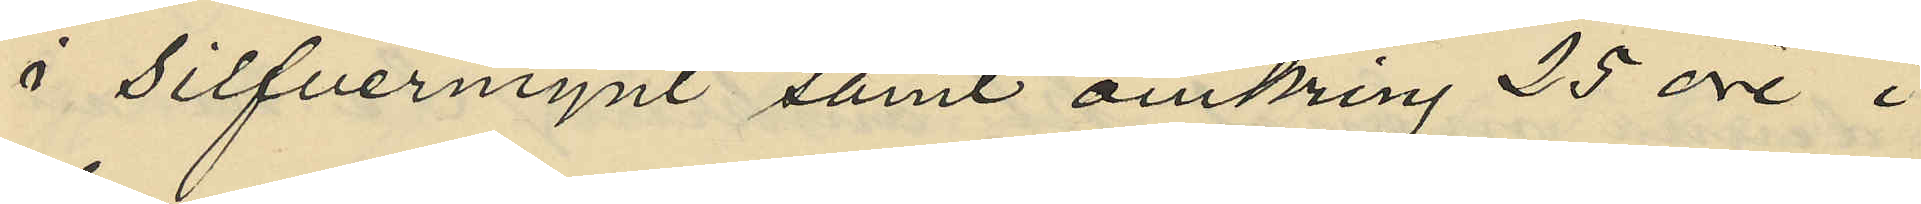i silfvermynt samt omkring 25 öre i
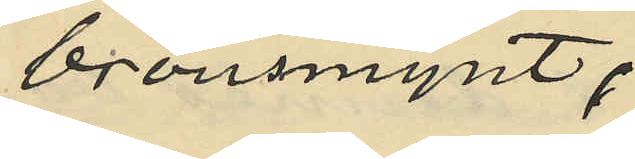bronsmynt;
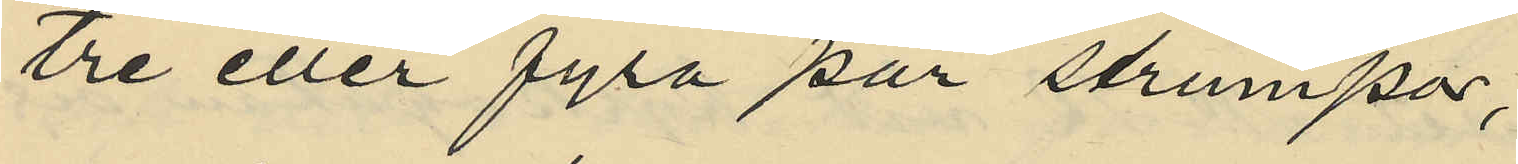tre eller fyra par strumpor,
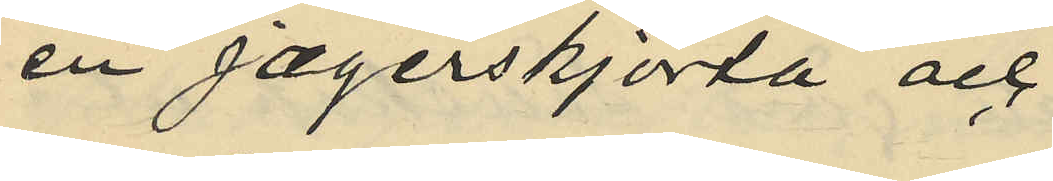en jægerskjorta och
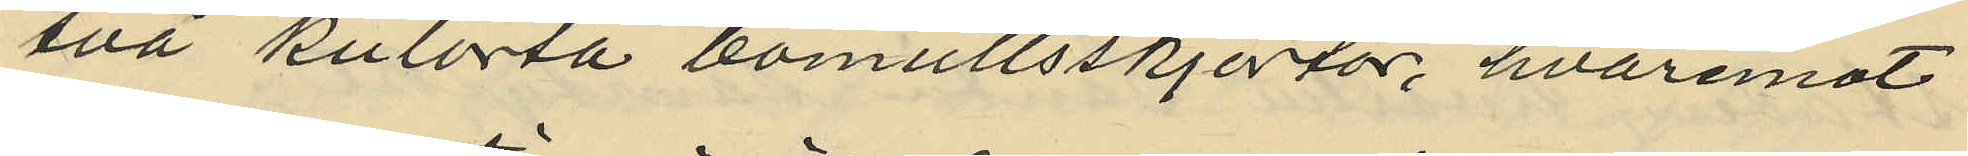två kulorta bomullsskjortor, hvaremot
